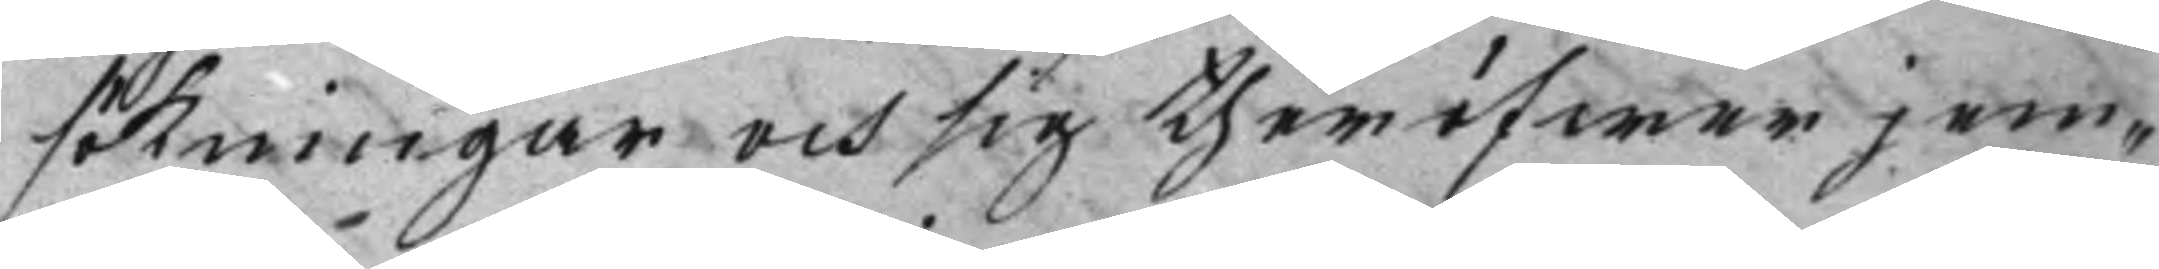sökningar och sig theröfwer jem¬
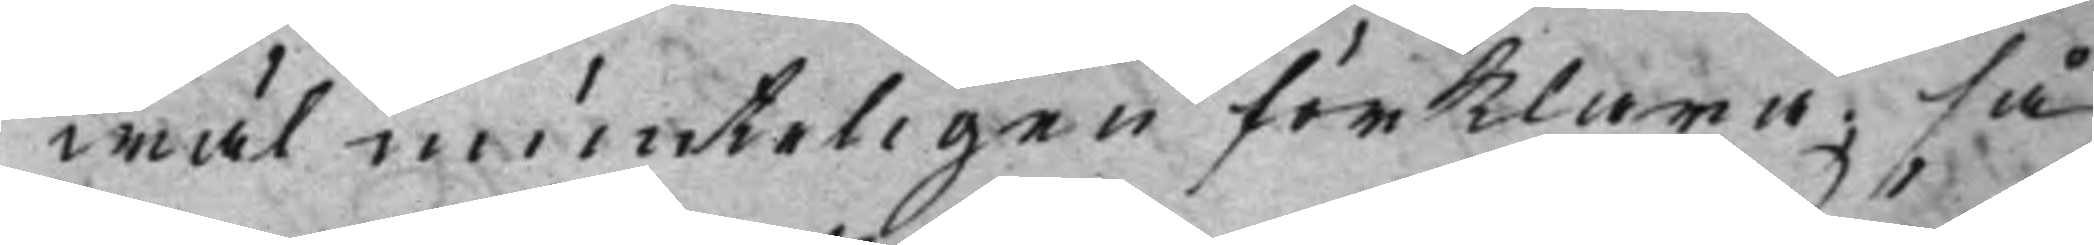wäl munteligen förklara; så
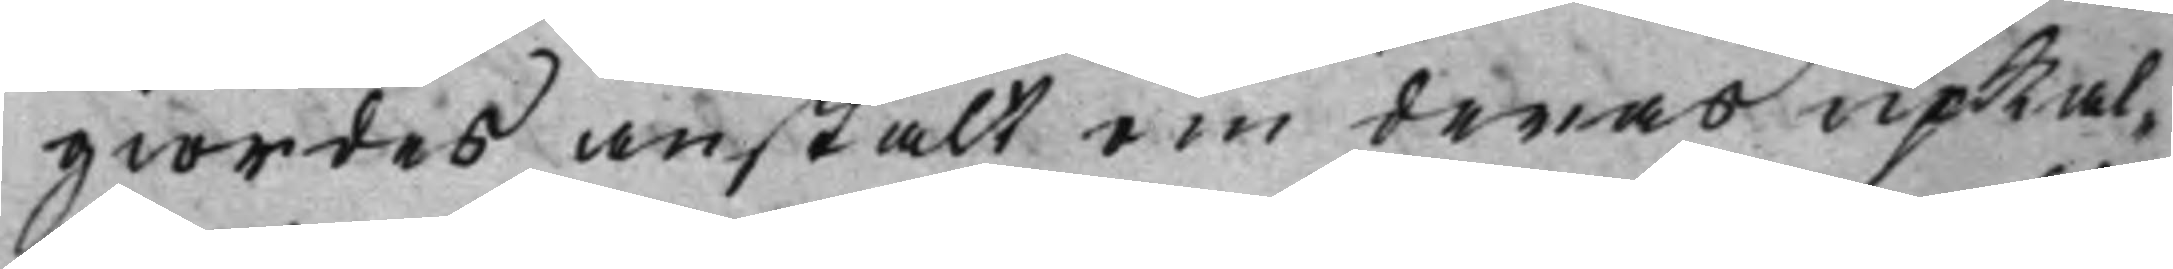giordes anstalt om deras upkal¬
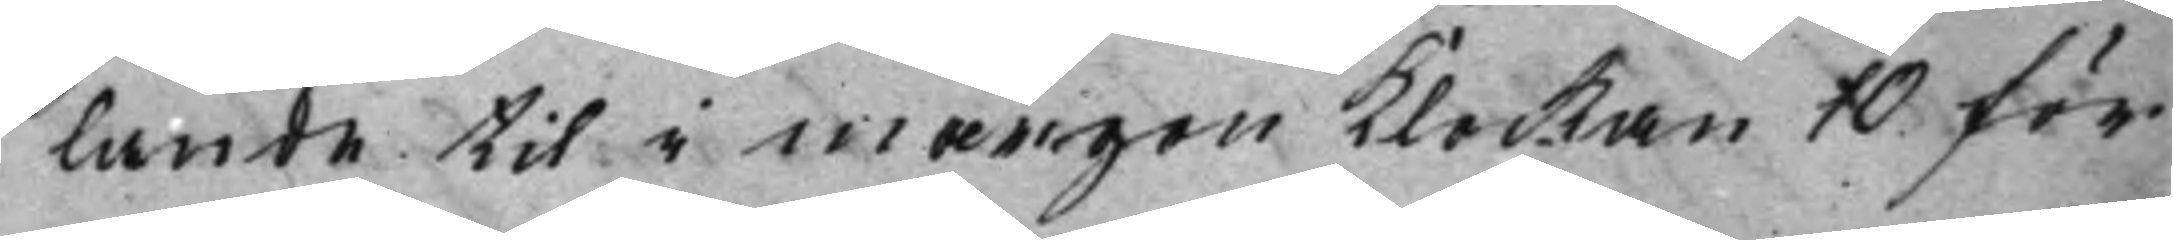lande til i mårgon Klockan 10 för
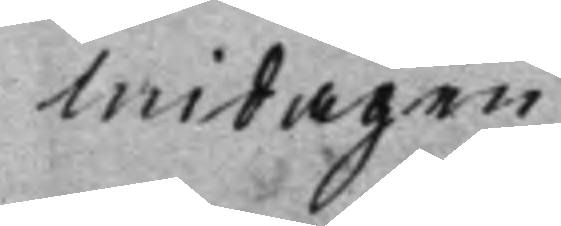Midagen.
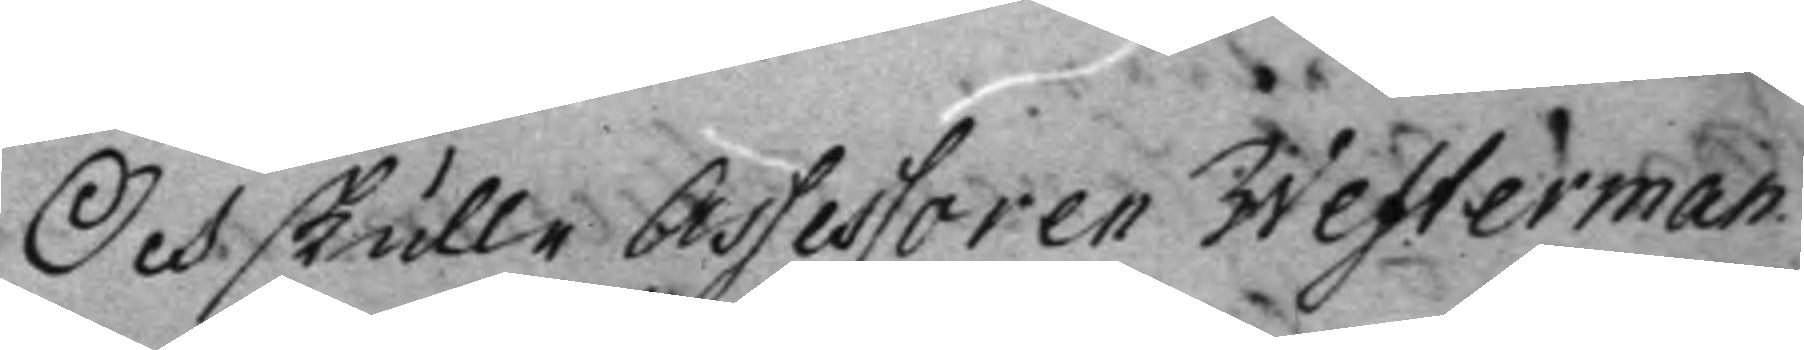Och skulle Assessoren Westerman
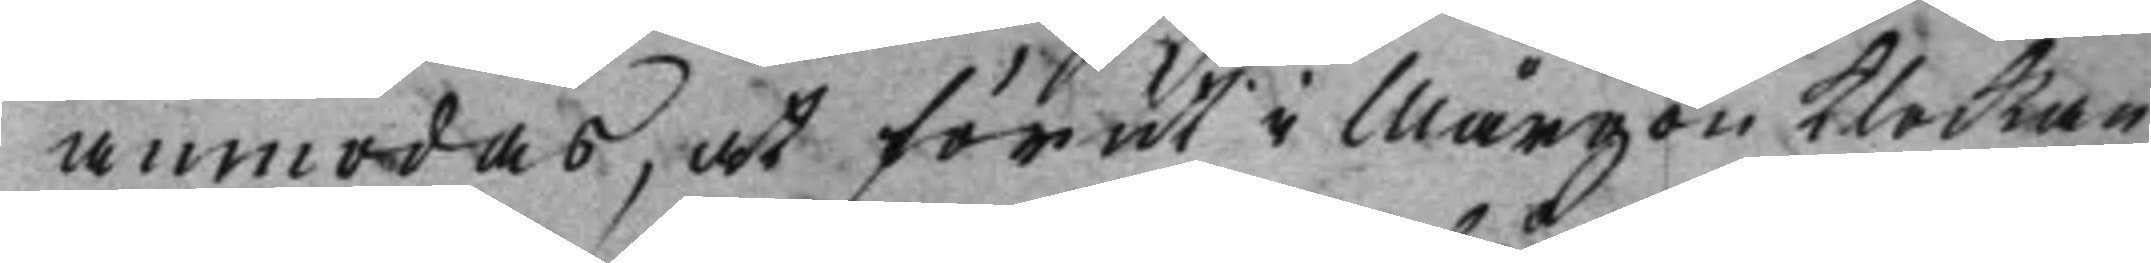anmodas, at förut i Mårgon Klockan¬
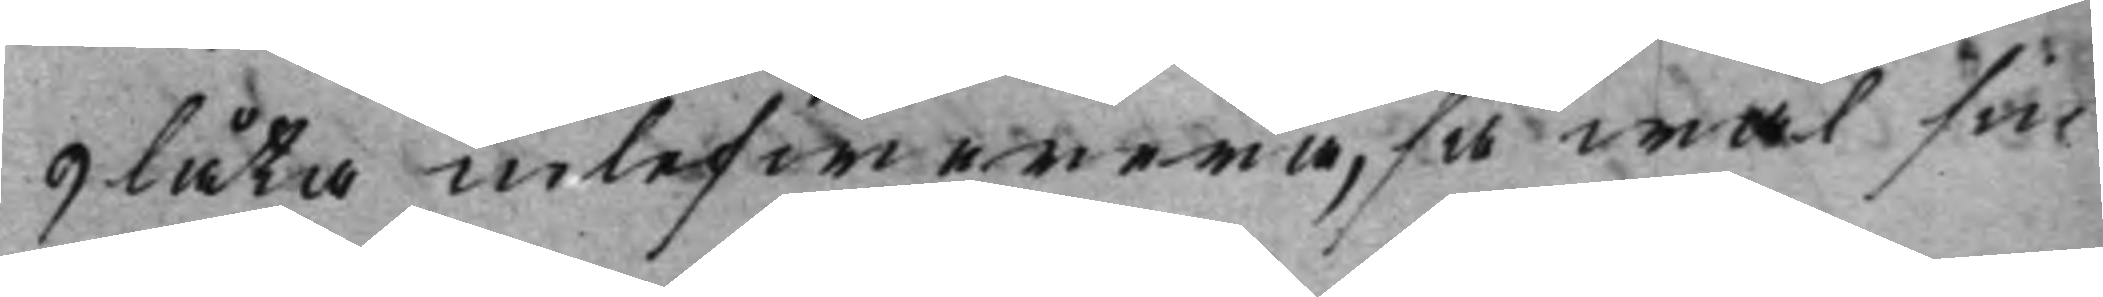9 låta inlefwerera, så wäl sin
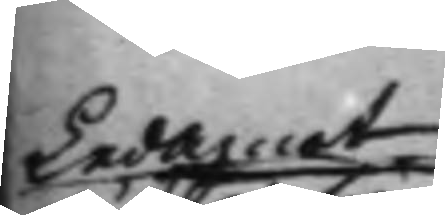Ledamot
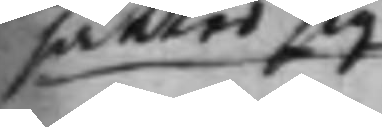sätter sig
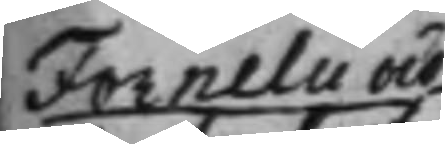Fornelii och
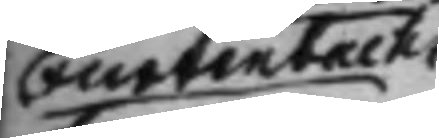Furtenbacks
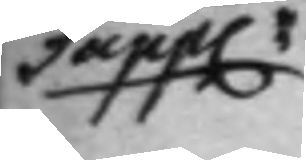Supp.
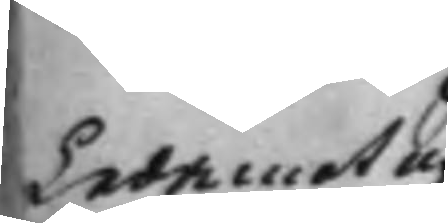Ledamot up¬
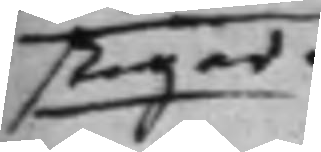stiger.
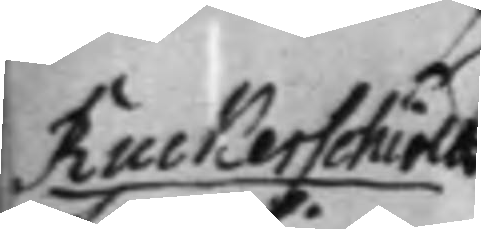Ruckerschiölds
